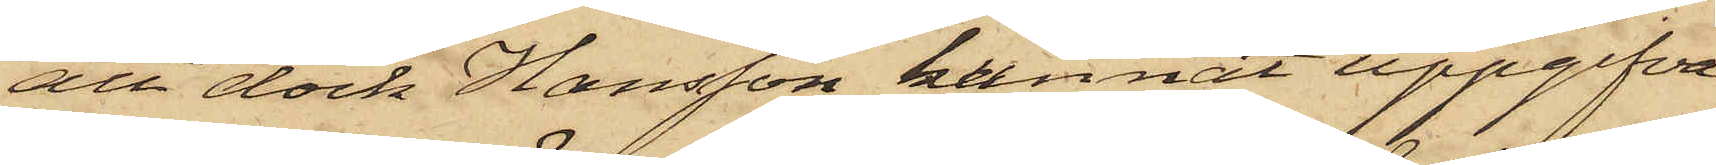att dock Hansson kunnat uppgifva
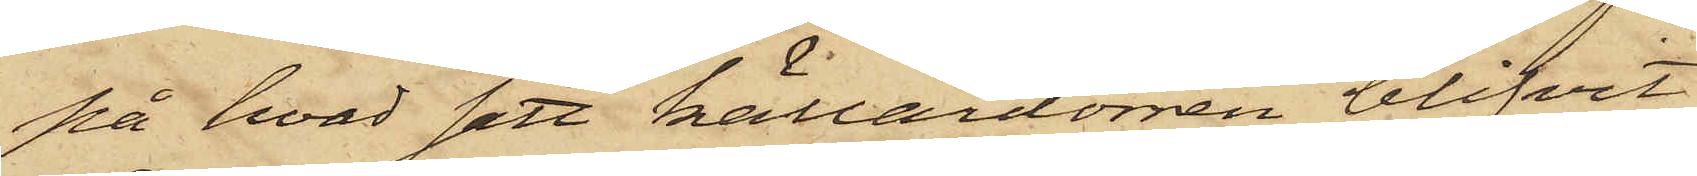på hvad sett källardörren blifvit
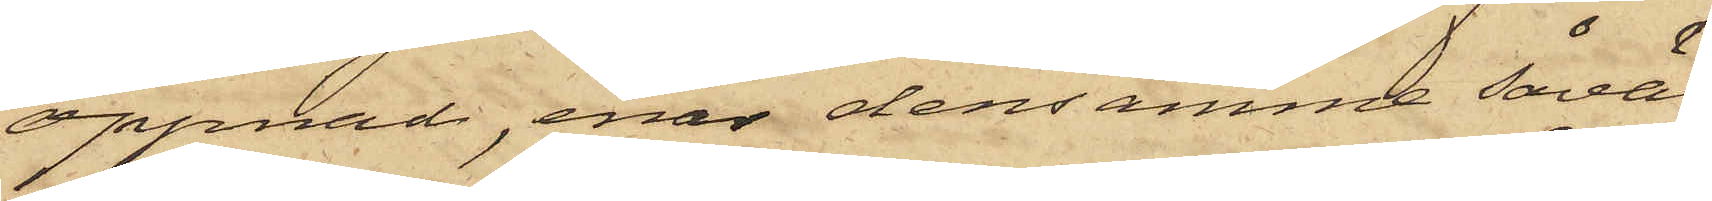öppnad, enär densamma såväl
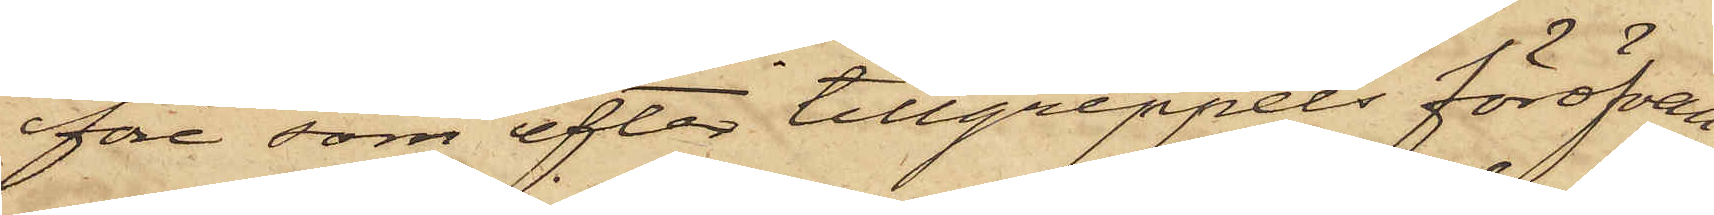före som efter tillgreppets föröfvan¬
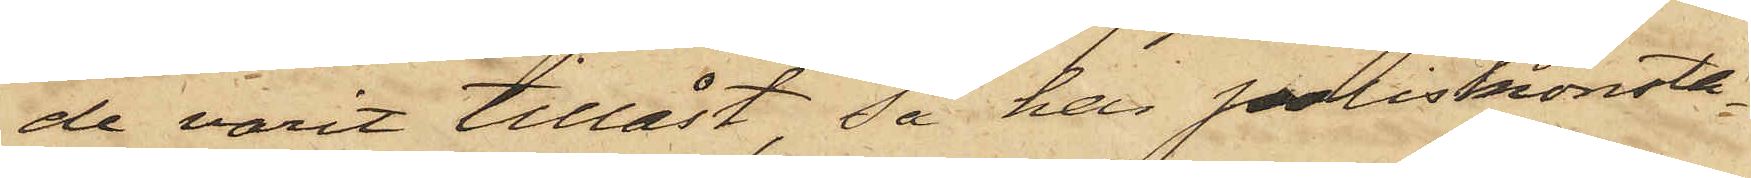de varit tillåst, så har poliskonsta¬
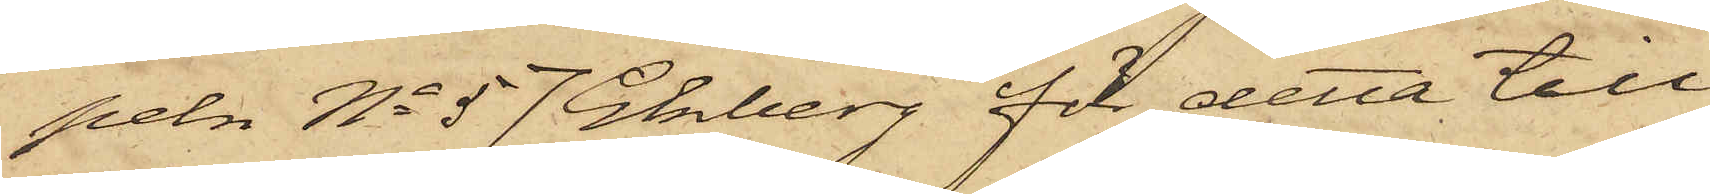peln No 57 Ekberg för detta till¬
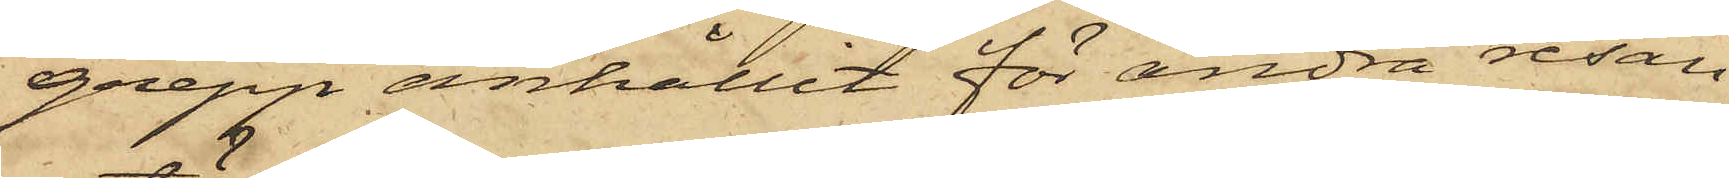grepp anhållit för andra resan
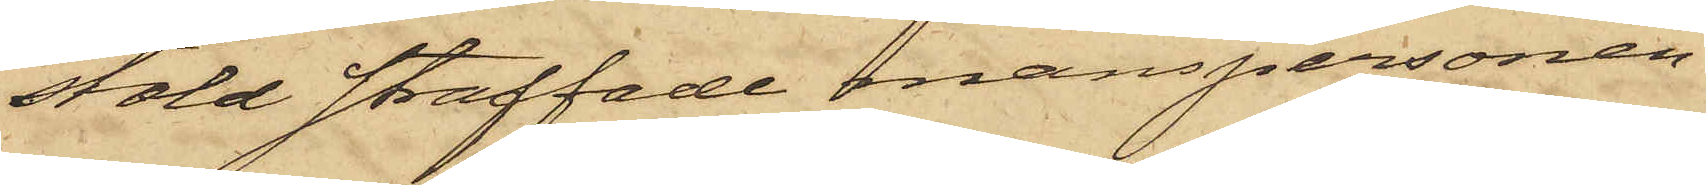stöld straffade manspersonen
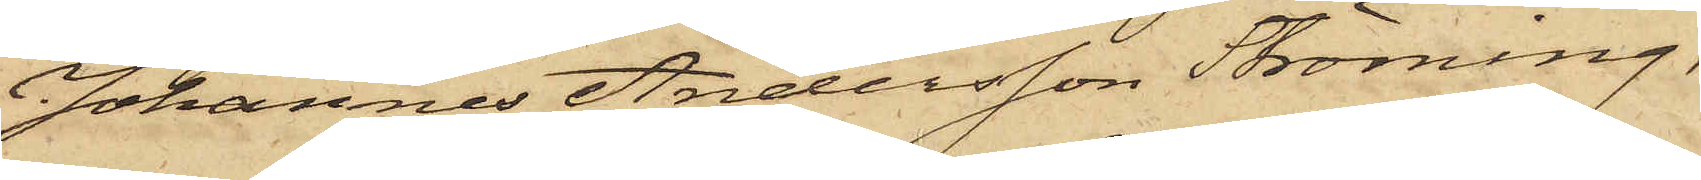Johannes Andersson Ströming,
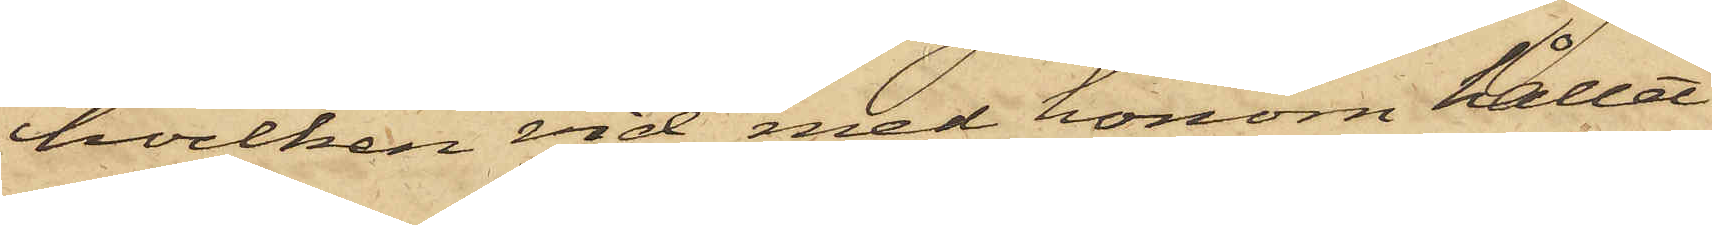hvilken vid med honom hållet
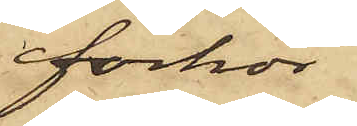förhör
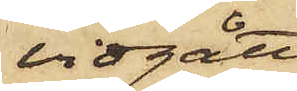vidgått;
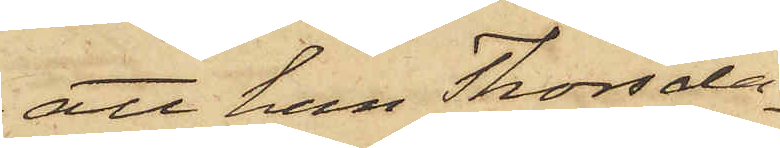att han Thorsda¬
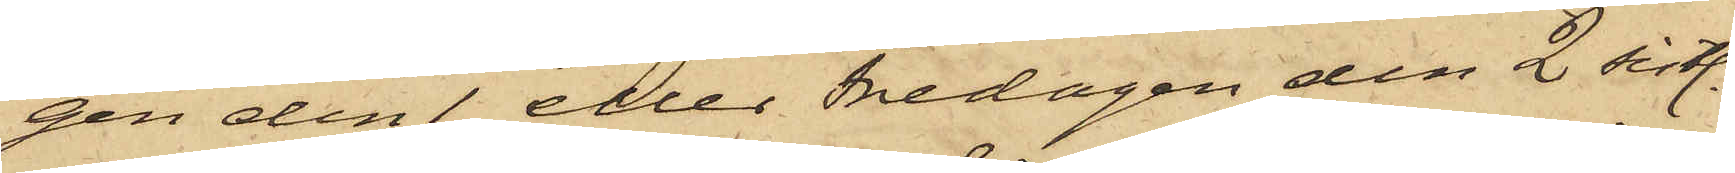gen den 1 eller Fredagen den 2 sistl.
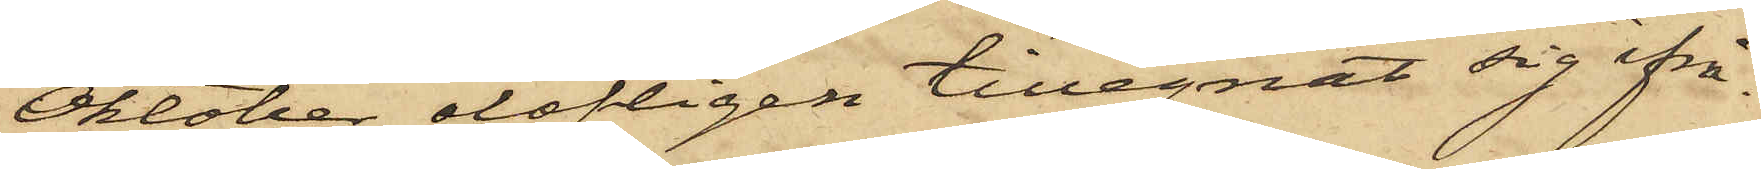Oktober olofligen tillegnat sig ifrå¬
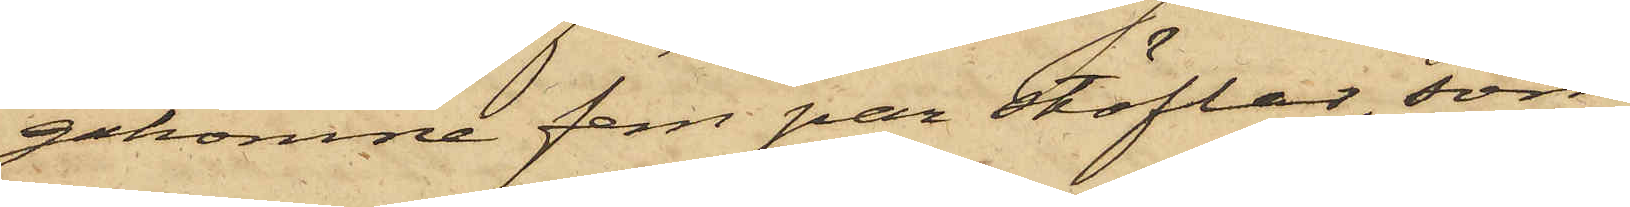gakomne fem par stöflar, som
